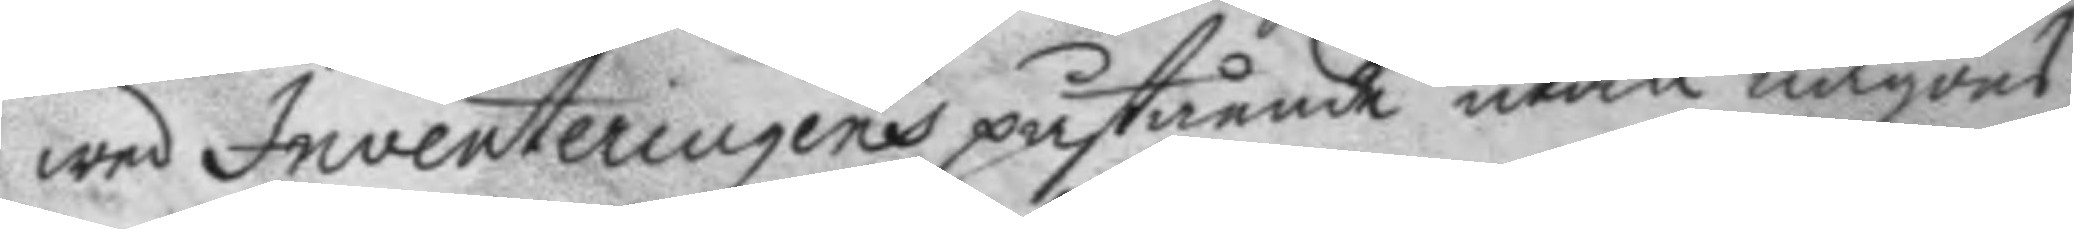wed Inventeringens påstående utan någons
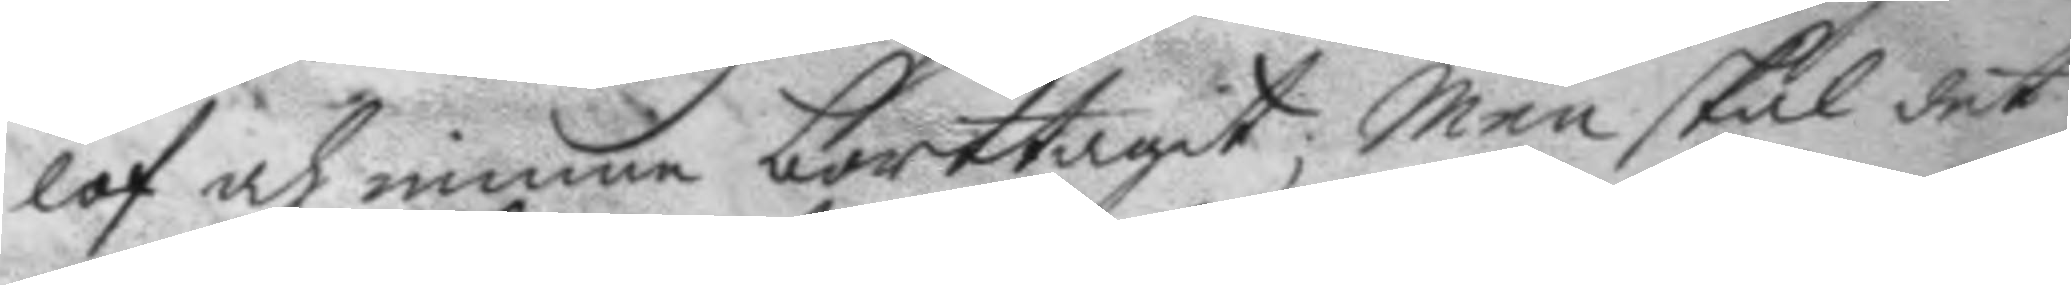lof och minne borttagit; Men skal det
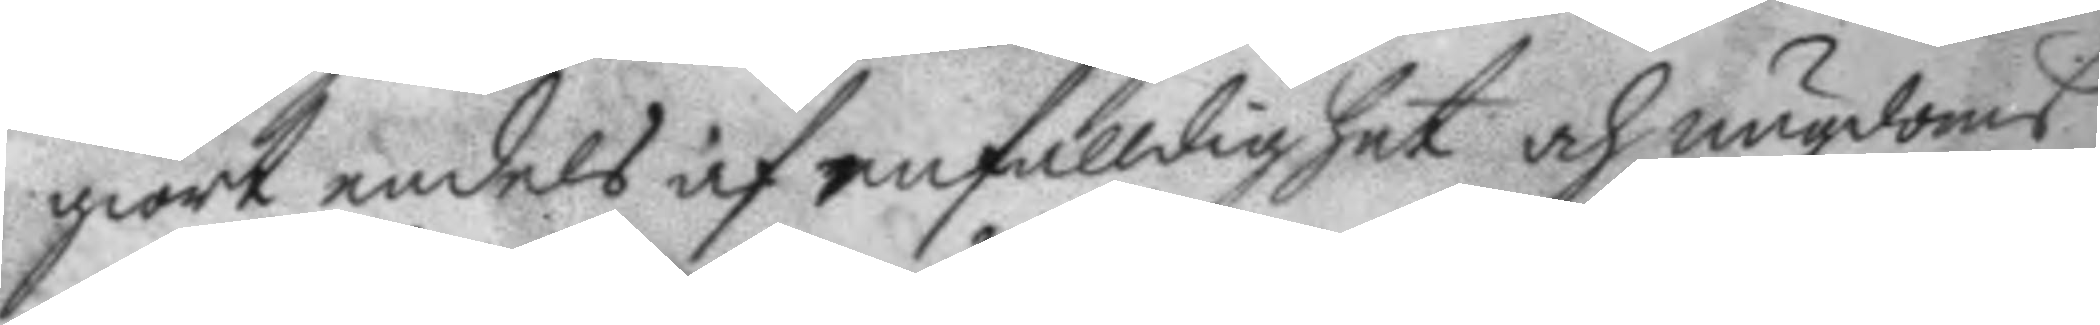giort endels af enfalldighet och ungdoms
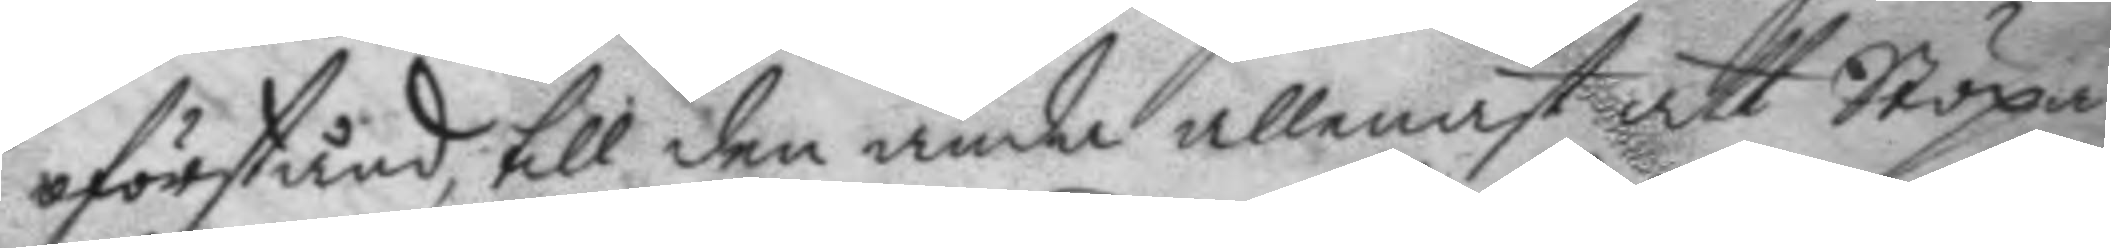oförstånd, till den ända allenast att Stöpa
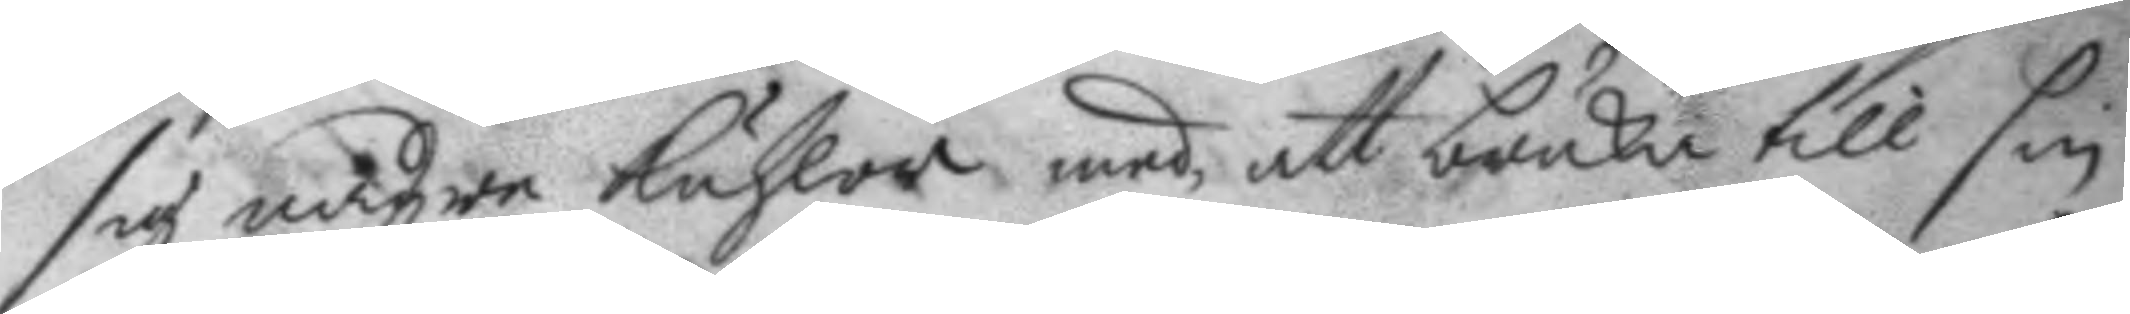sig någre kuhlor med att bruka till sin
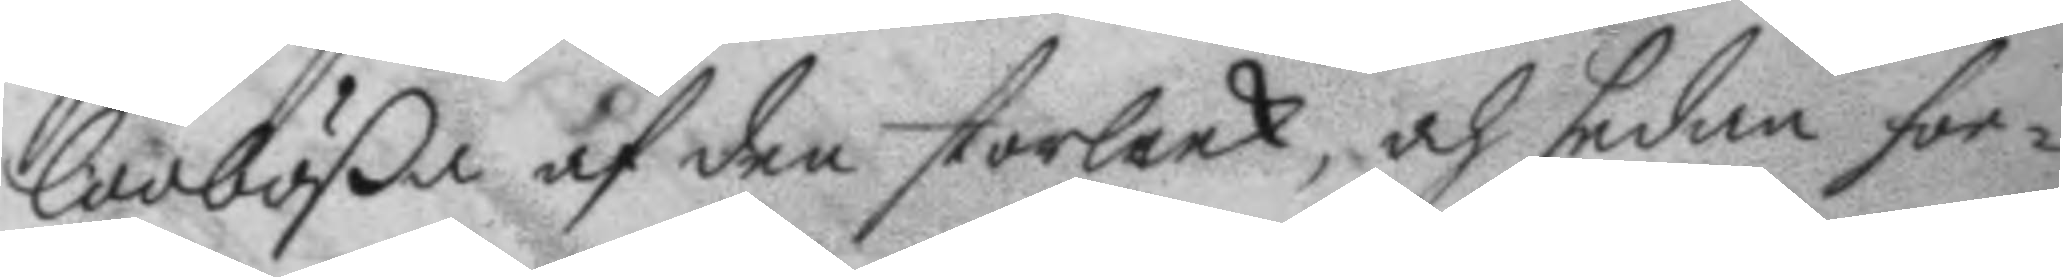loobößa af den storleek, och sedan for¬
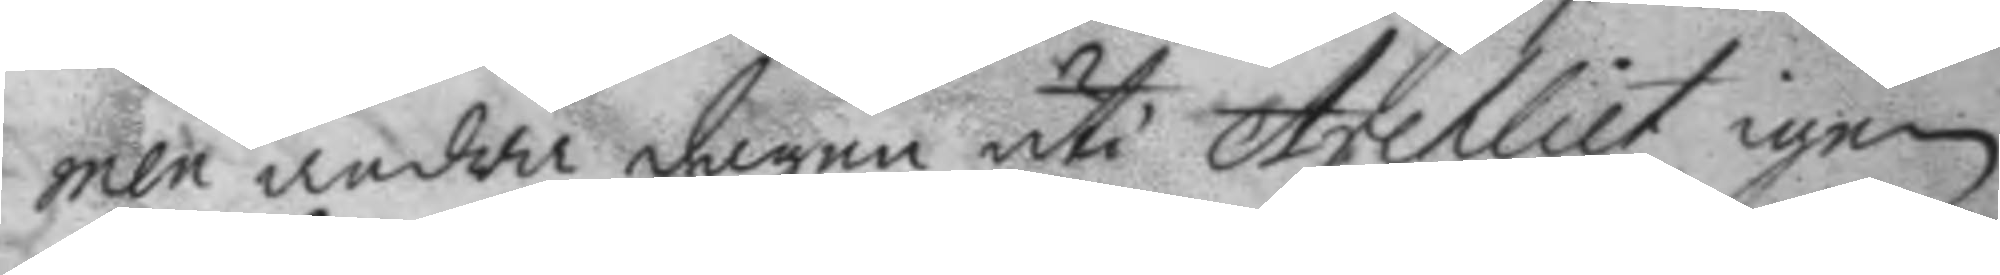men andra dagen uti Archliet igen
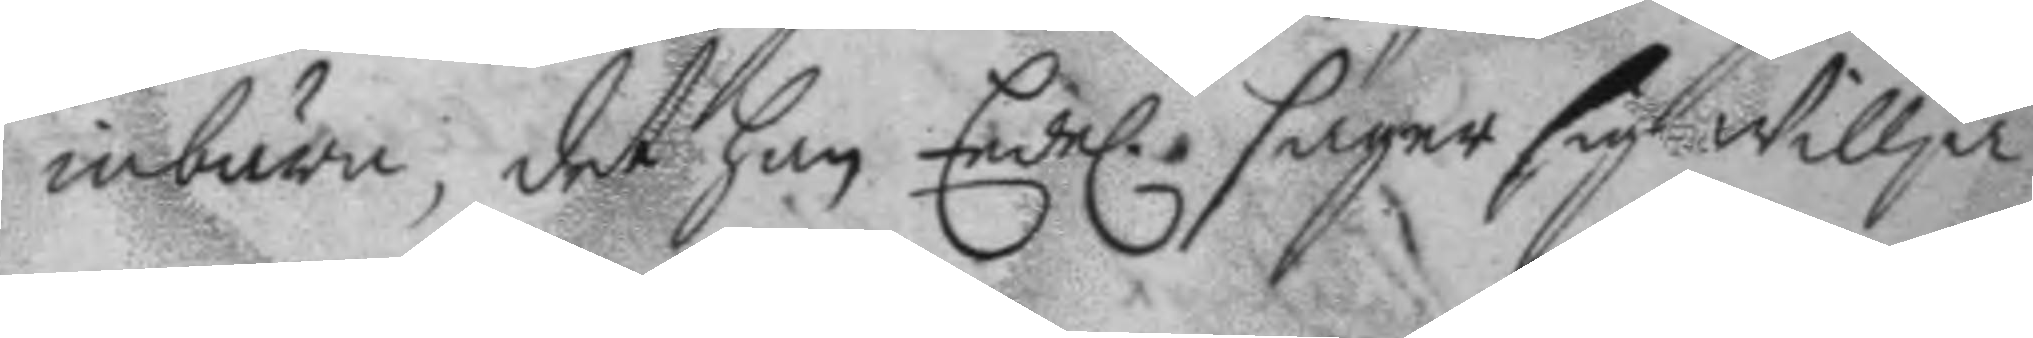inbära, det han Eedel. säger sig Willja
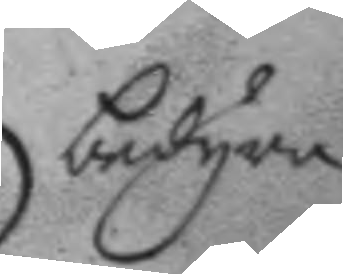bedyra.
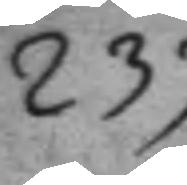233.
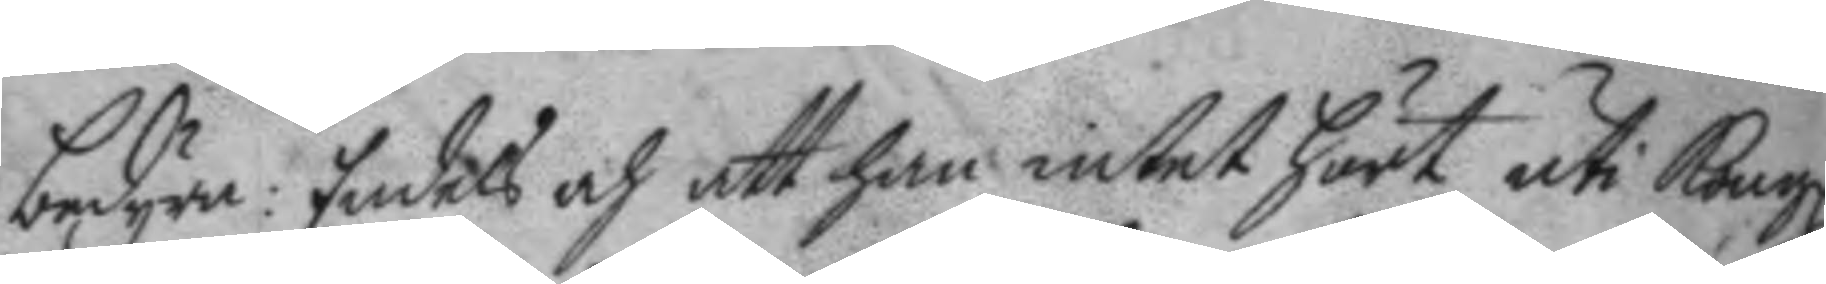bedyra: Endels och att han intet hört uti Kongl.
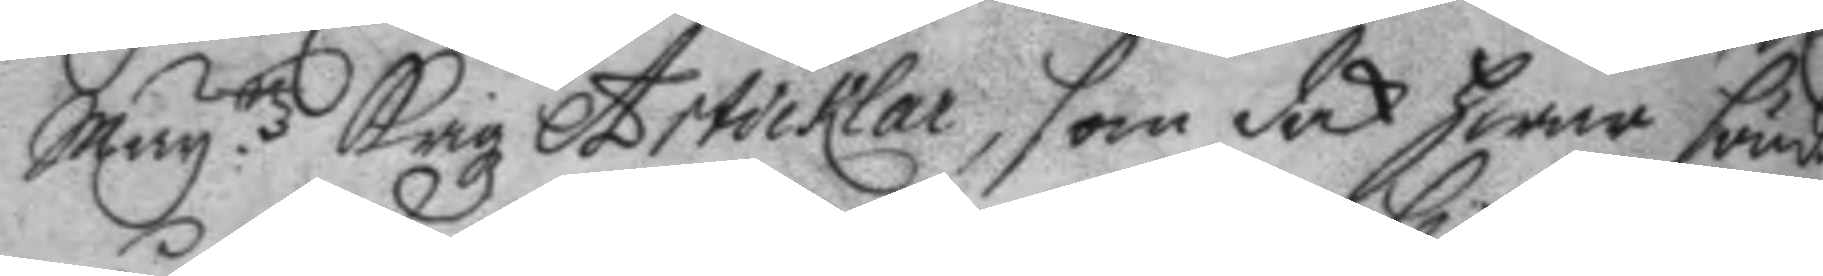May:ttz Krigz Articklar, som dock hwar söndag
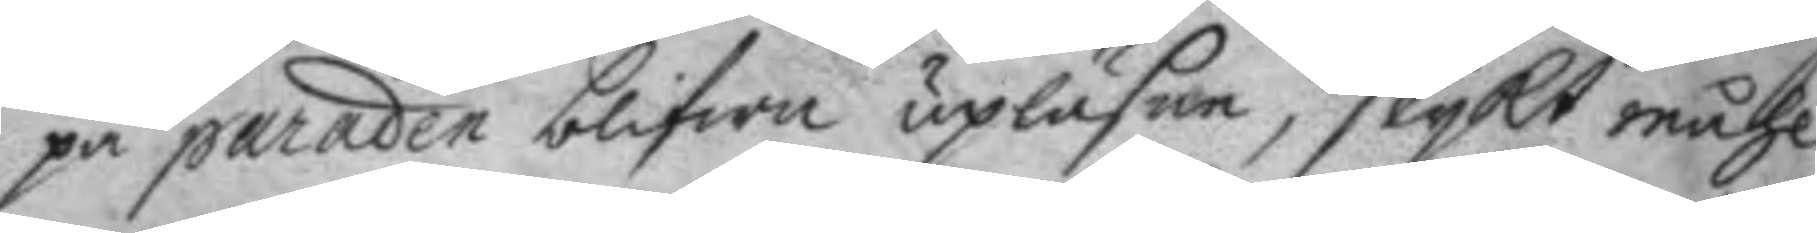på paraden blifwa upläsne, slykt måhl
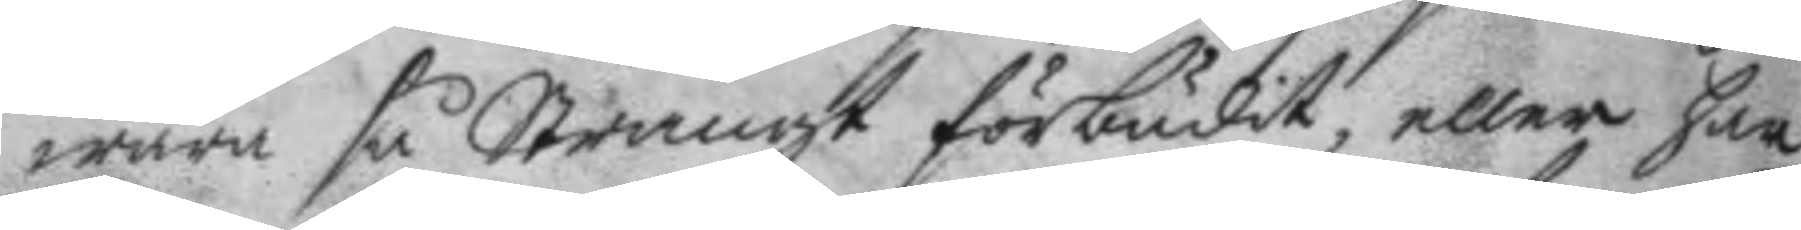wara så Strängt förbudit, eller har
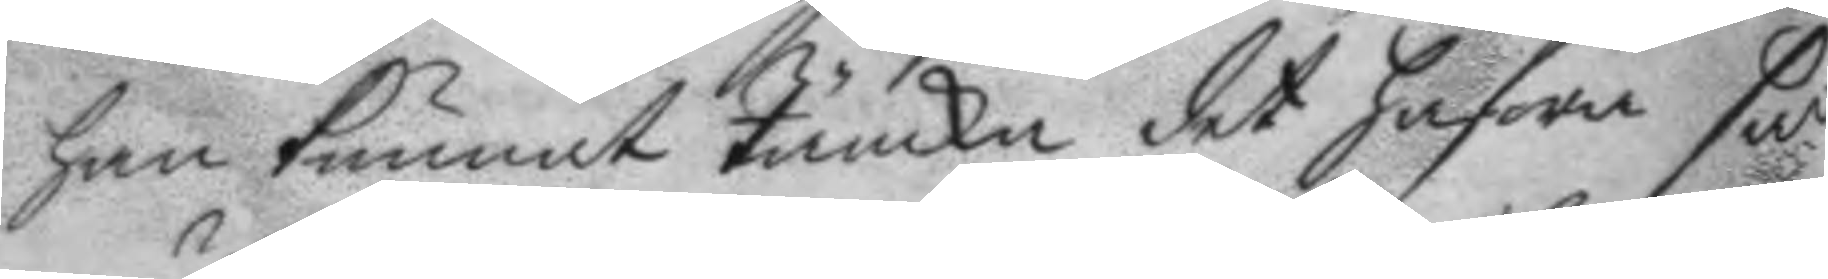han kunnat täncka det hafwa så
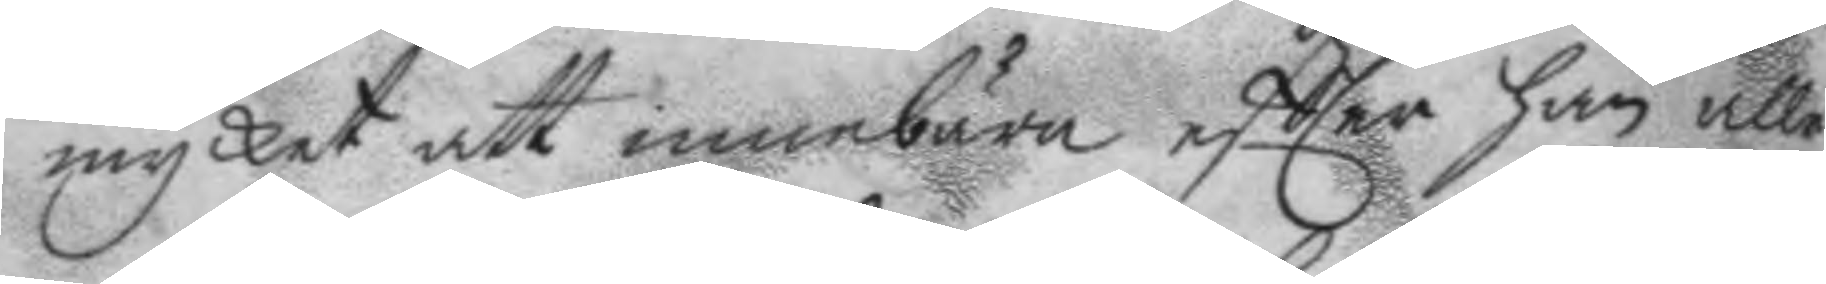mycket att innebära eftter han alle¬
